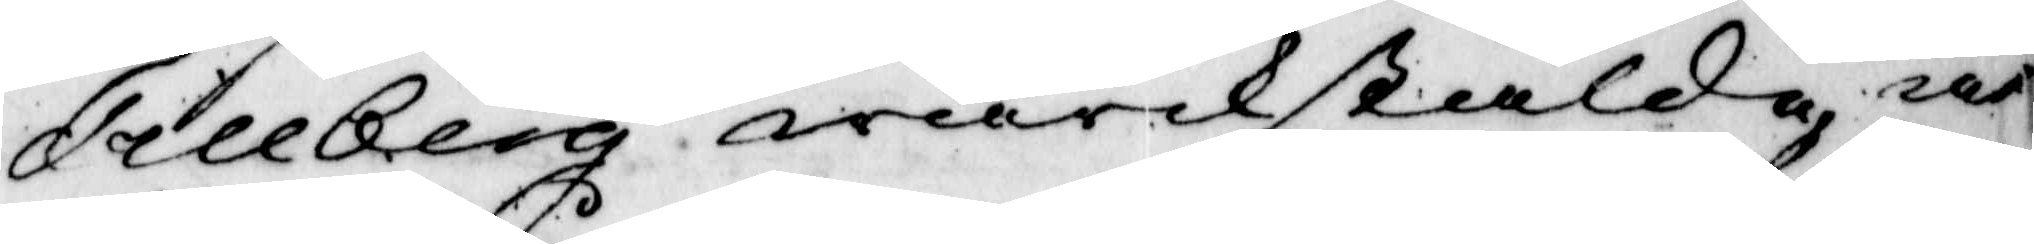Tillberg wärkstälde at
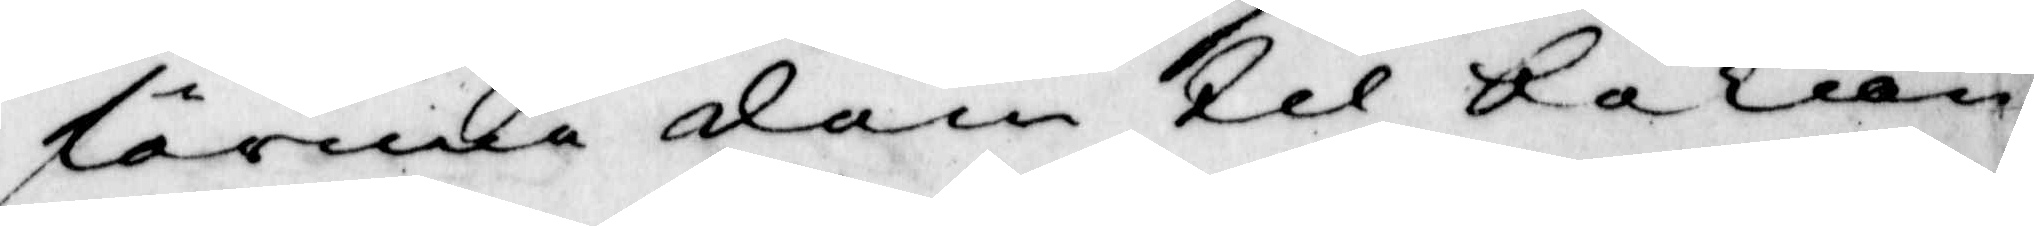förmå dem til bekän¬
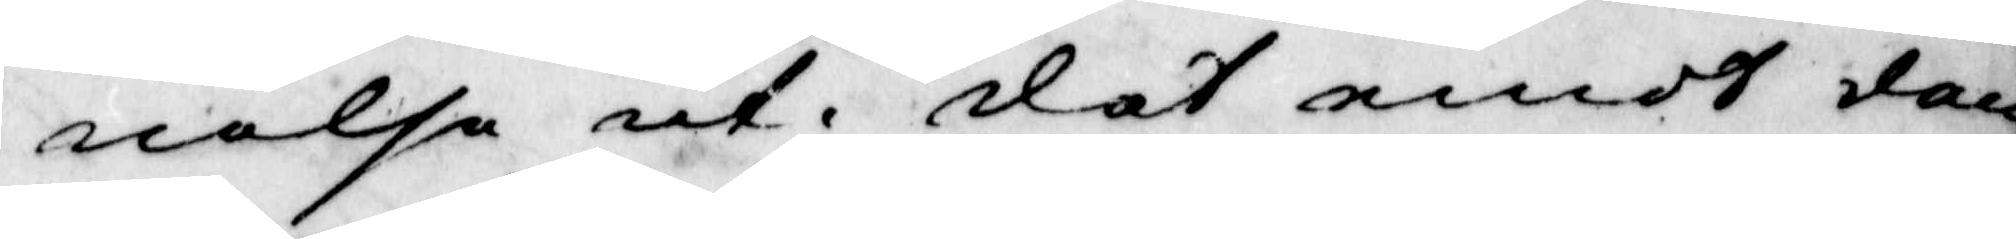nelse ut, det emot dem
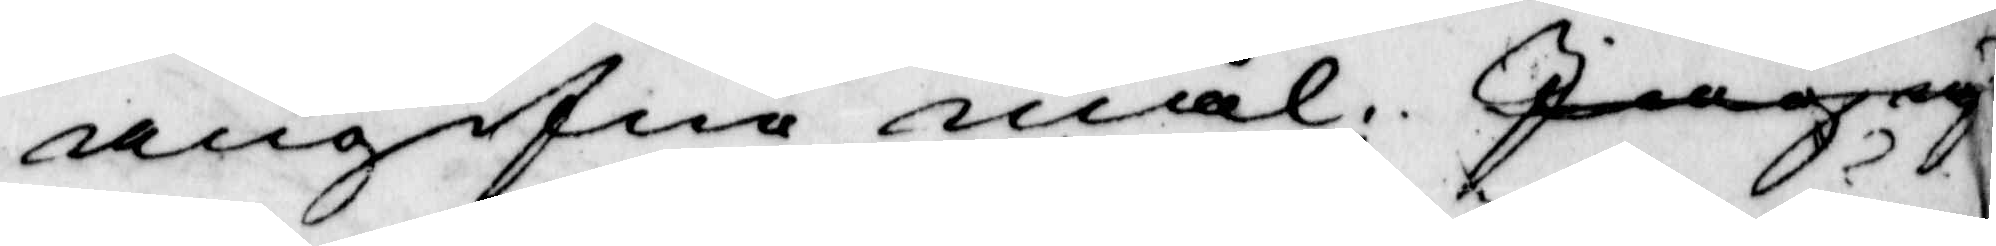angifne mål; Jiag ry
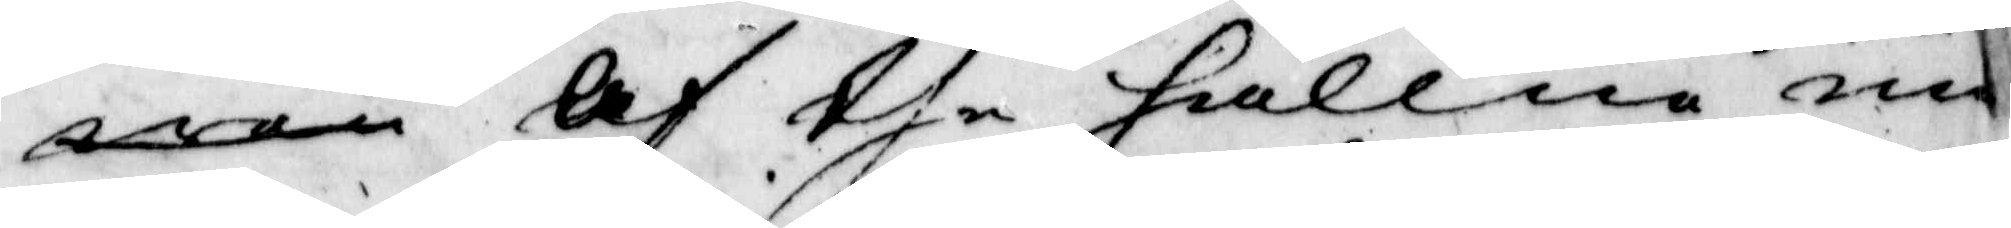wen Af the hållne un¬
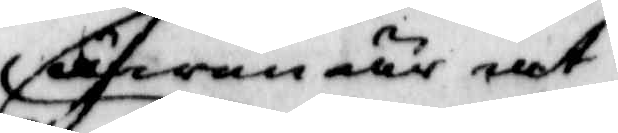äfwen är at
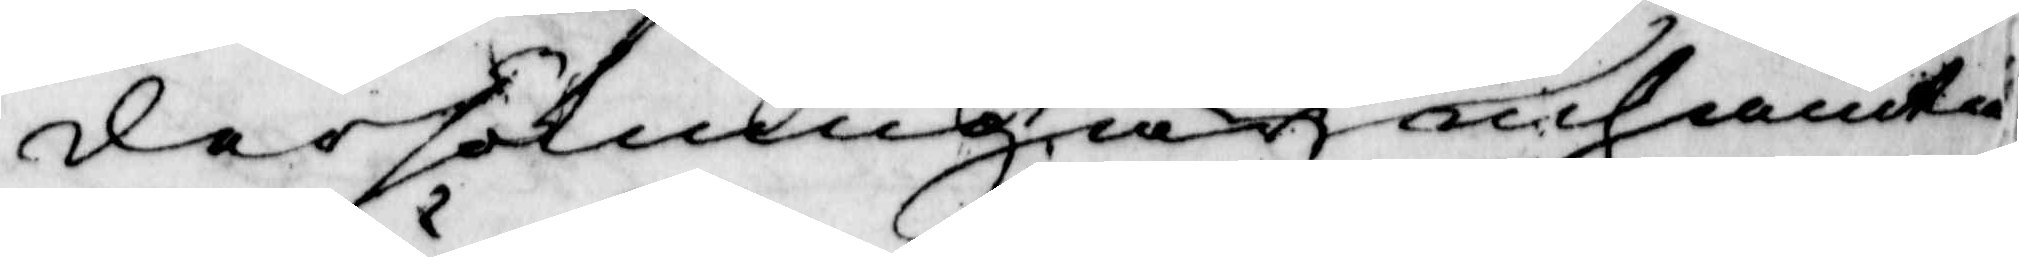dersökningar inhämta
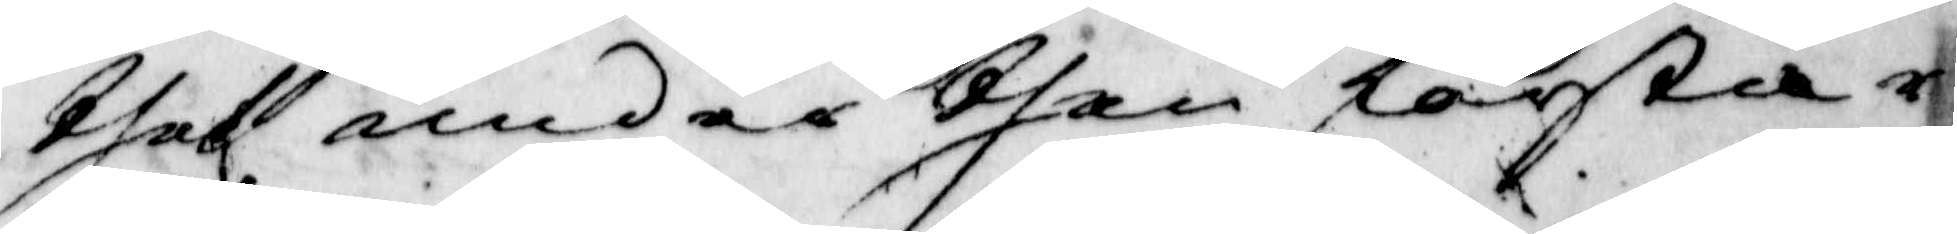thet under then första r¬
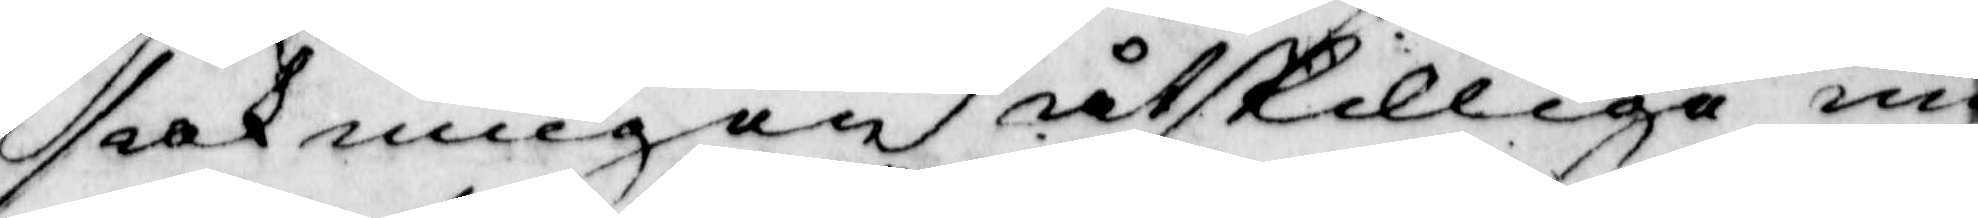sakningen åtskilliga un¬
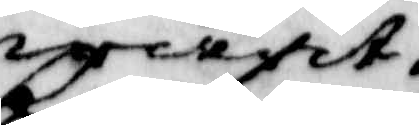warit
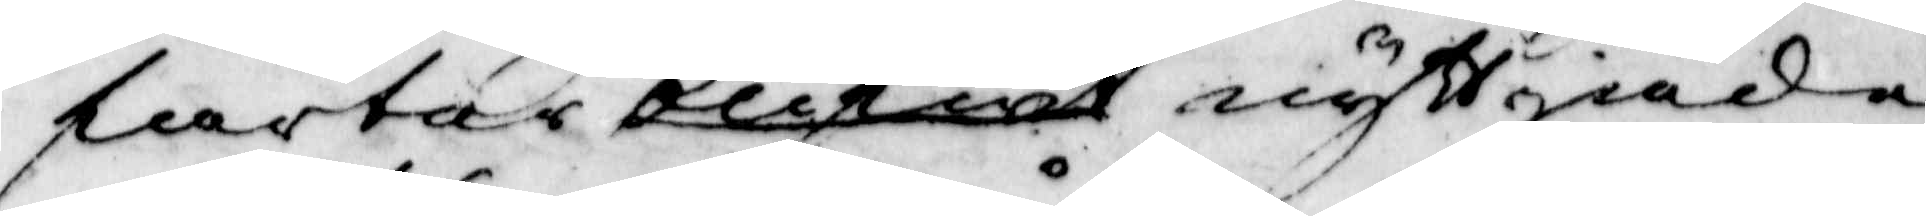fartar blifwit nyttjiade
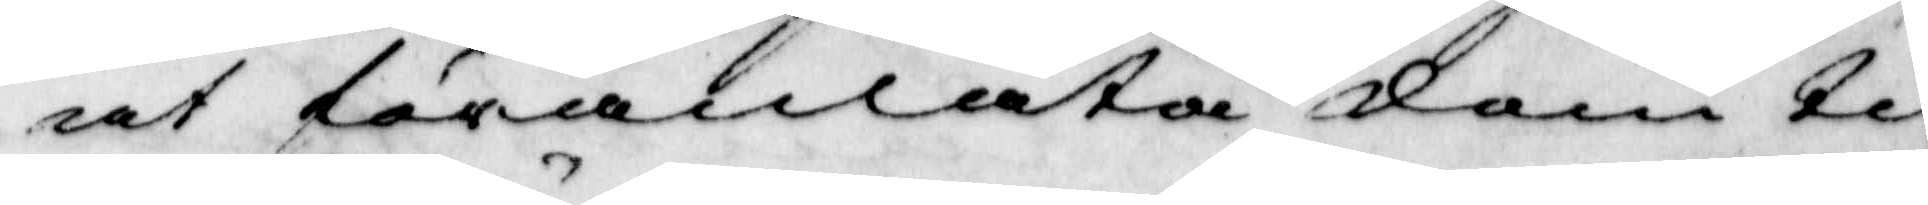at förantåta dem til
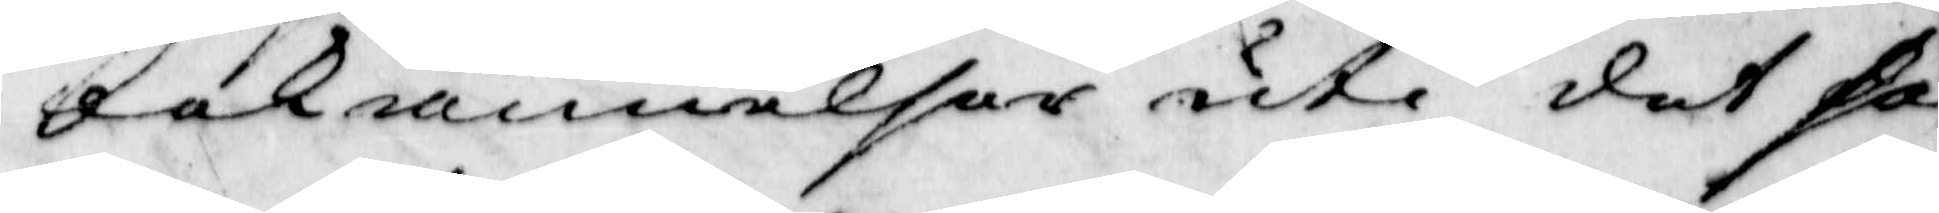bekännelser uti det sa
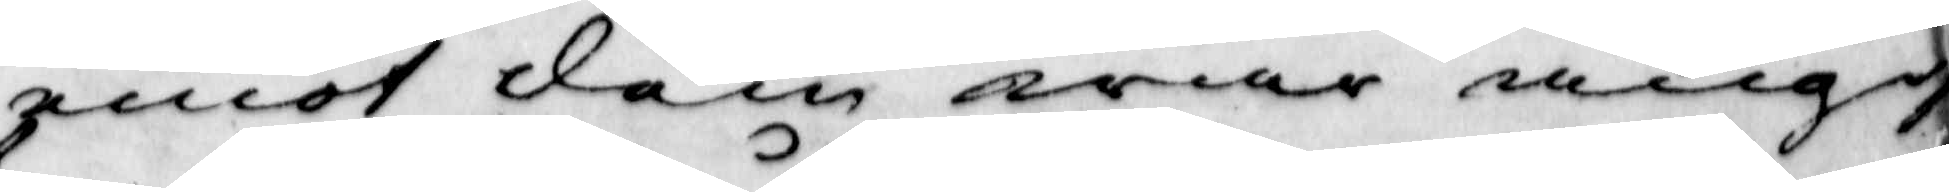emot dem war angif¬
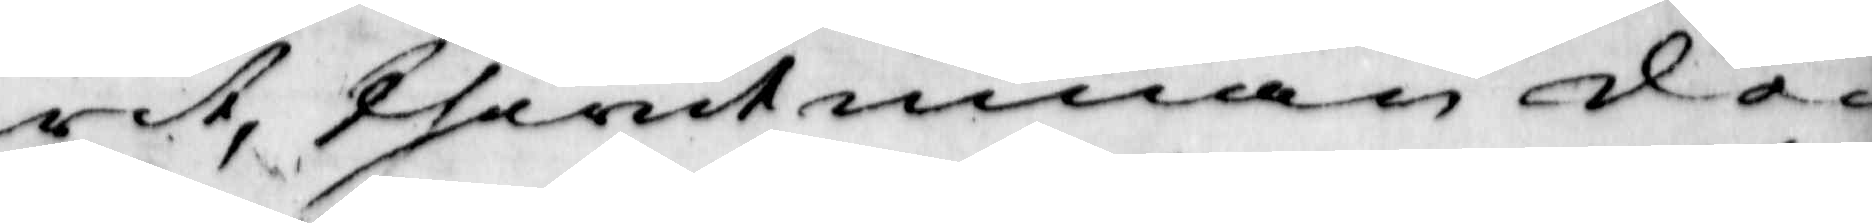wit, therutinnan de
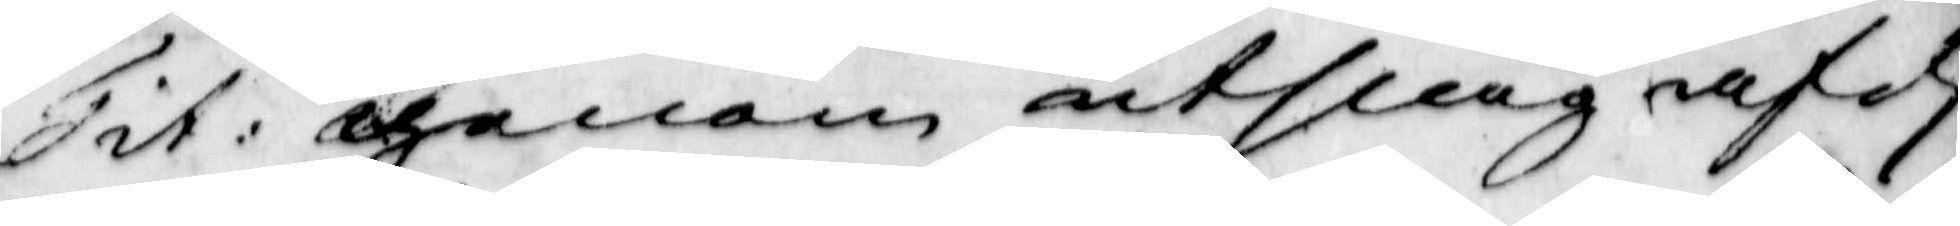Tit: genom utslag af d.
